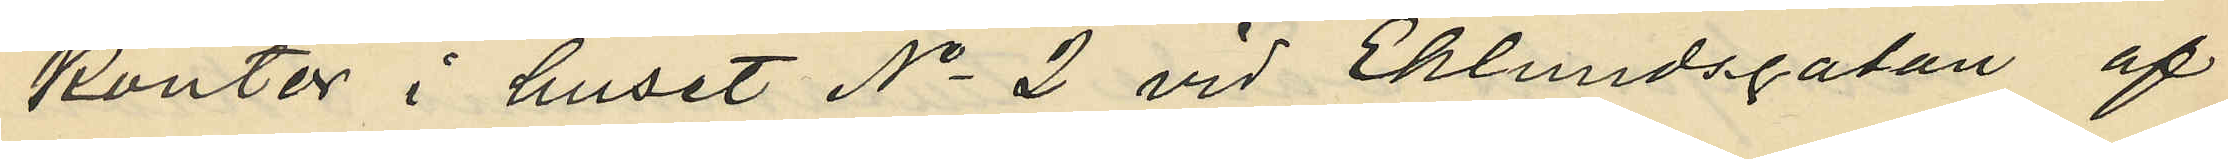kontor i huset No 2 vid Eklundsgatan af
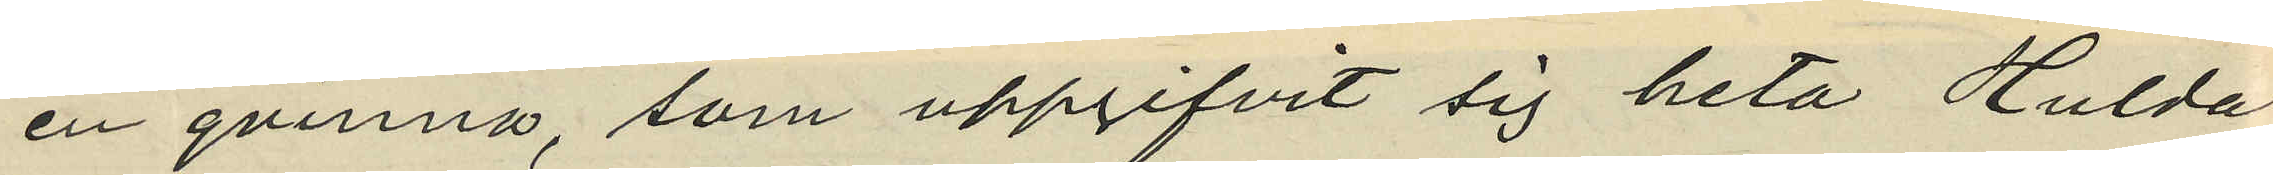en qvinna, som uppgifvit sig heta Hulda
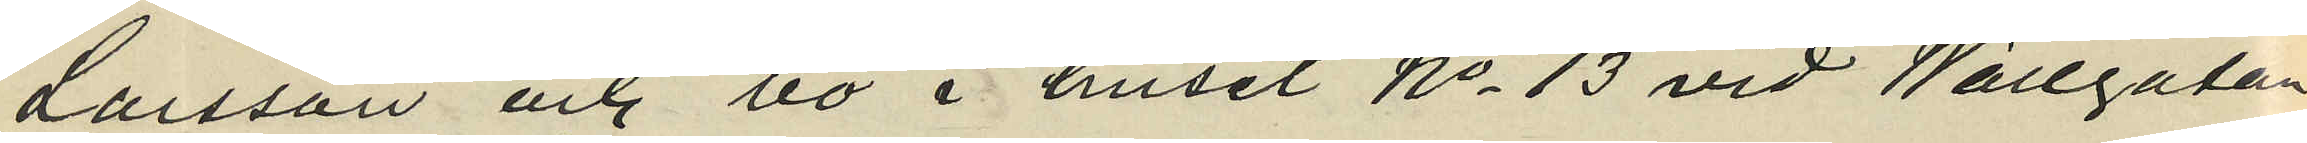Larsson och bo i huset No 13 vid Wallgatan
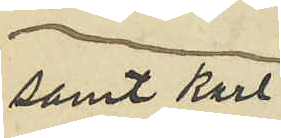samt Karl
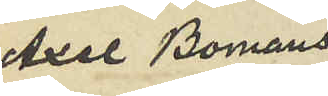Axel Bomans
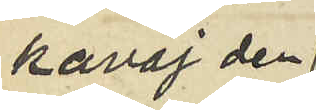kavaj den
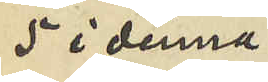5 i denna
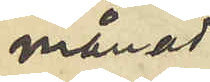månad
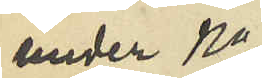under No
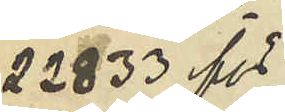22833 för
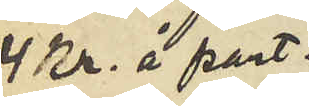4 Kr. å pant¬
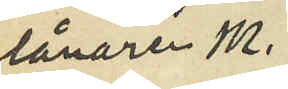lånaren M.
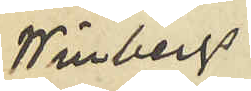Winbergs
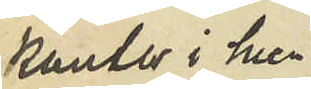Kontor i hus¬
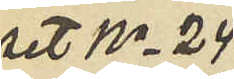set No 24
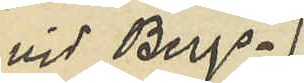vid Bergs¬
